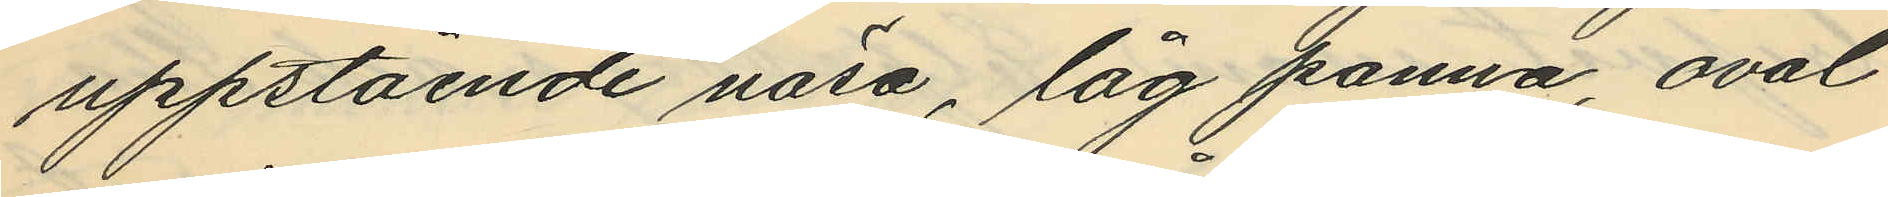uppstående näsa, låg panna, oval
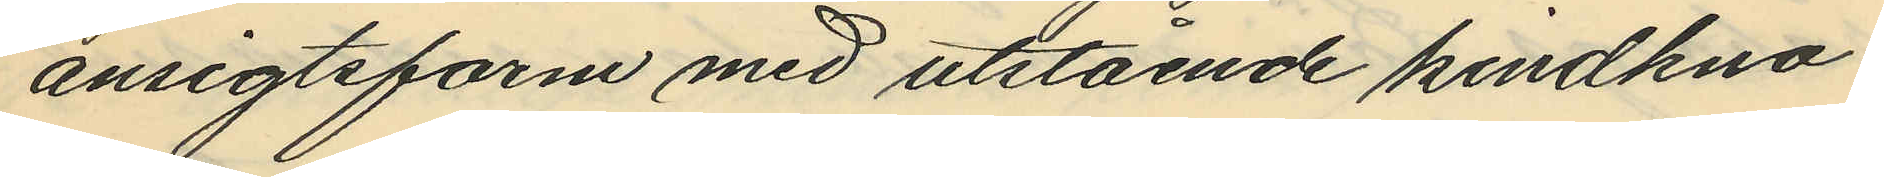ansigtsform med utstående kindkno¬
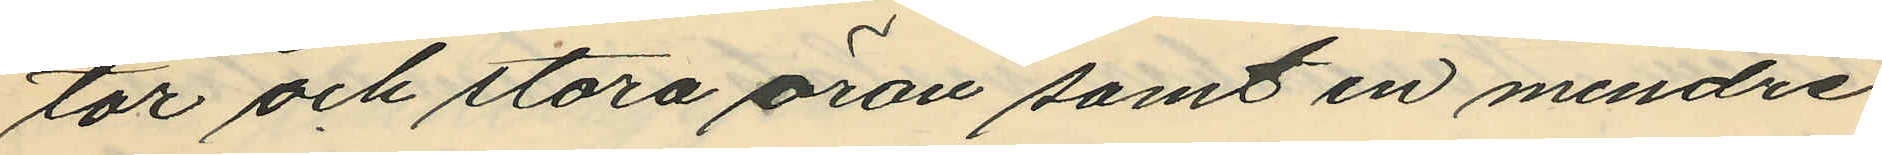tor och stora öron samt en mindre
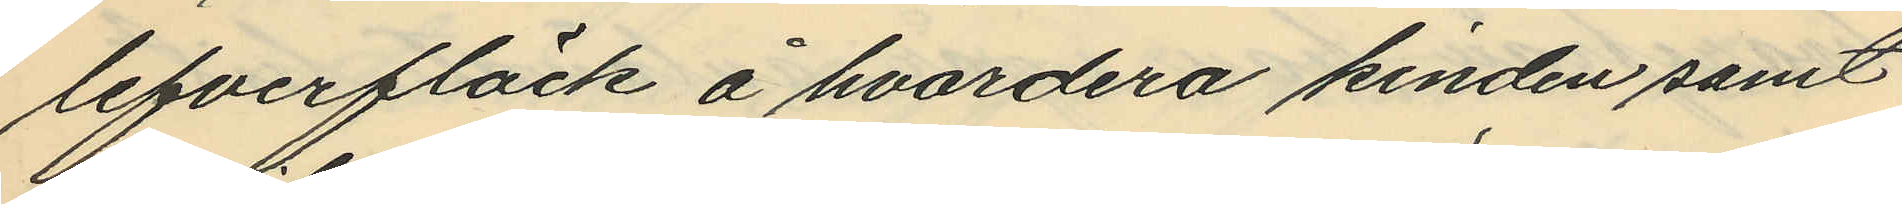lefverfläck å hvardera kinden samt
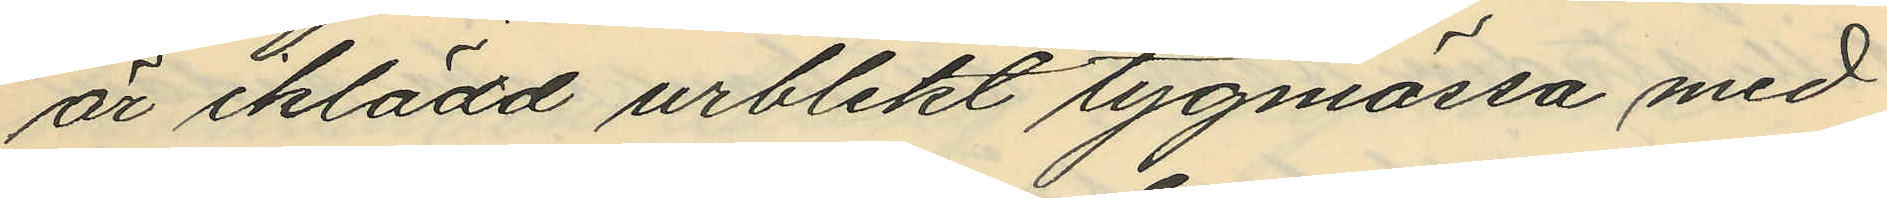är iklädd urblekt tygmössa med
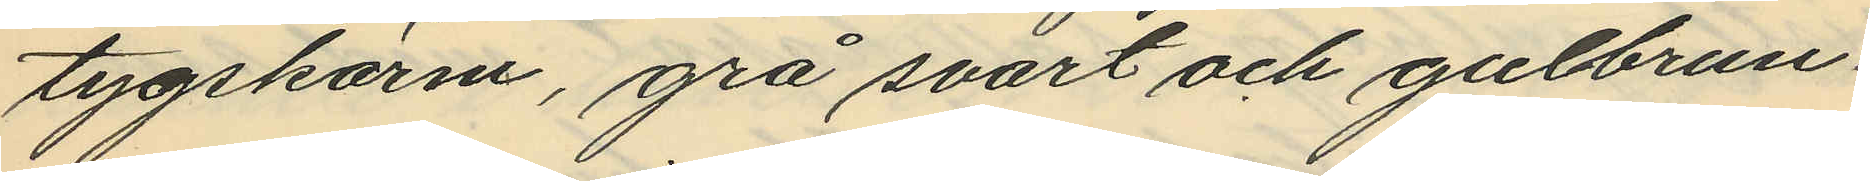tygskärm, grå svart och gulbrun¬
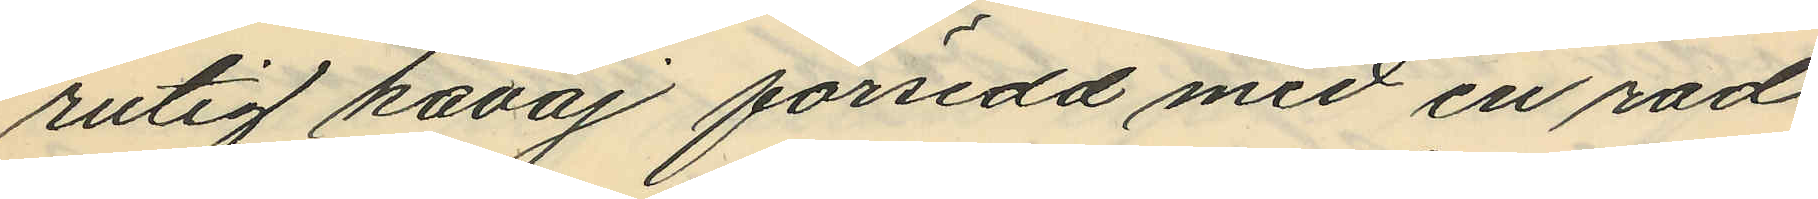rutig kavaj försedd med en rad
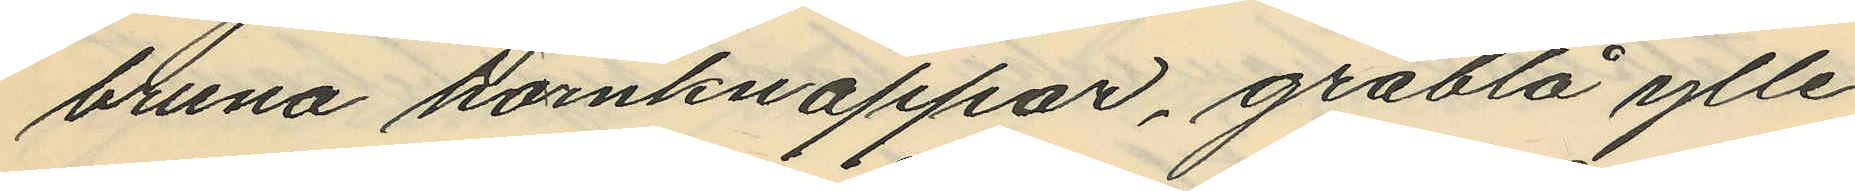bruna hornknappar, gråblå ylle¬
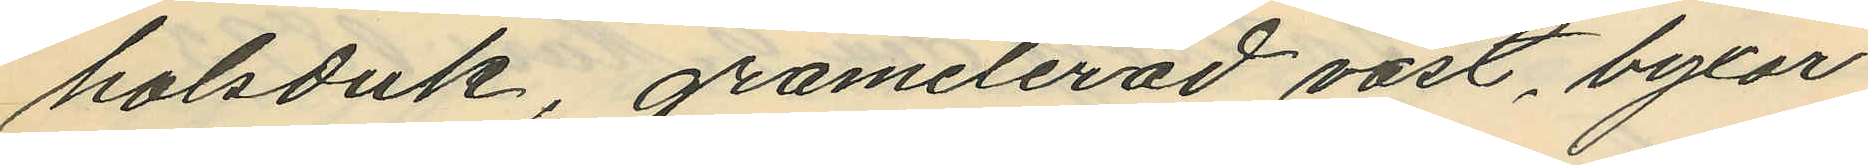halsduk, gråmelerad väst, byxor
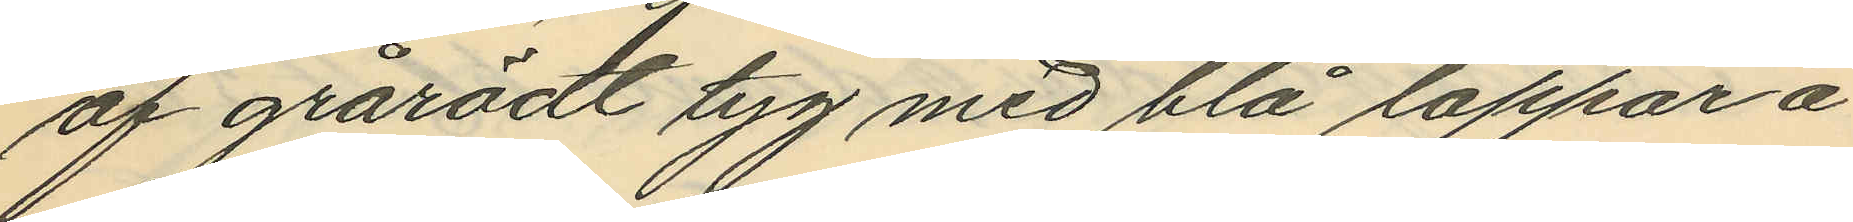af grårödt tyg med blå lappar å
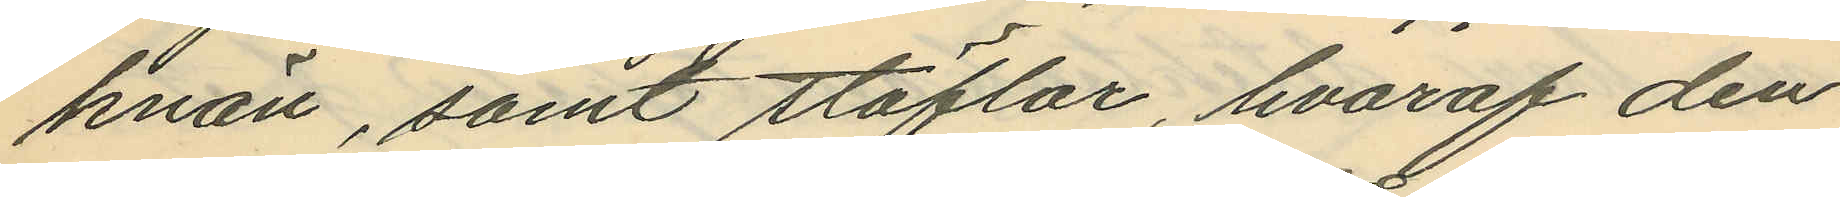knän, samt stöflar, hvaraf den
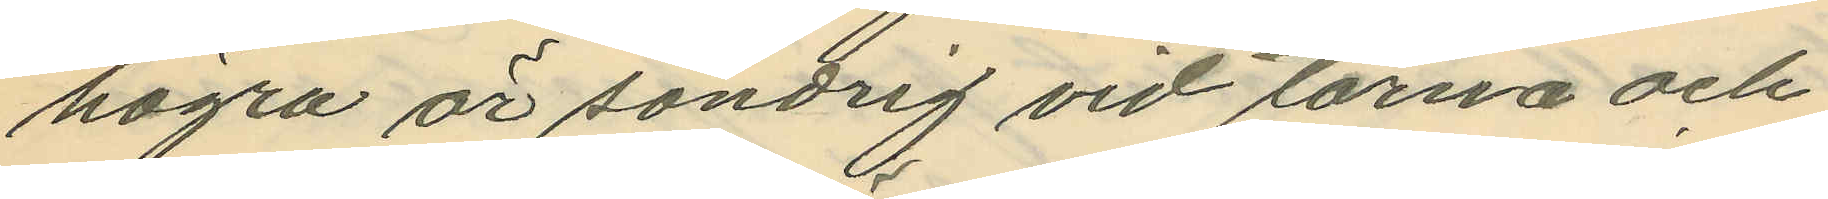högra är söndrig vid tårna och
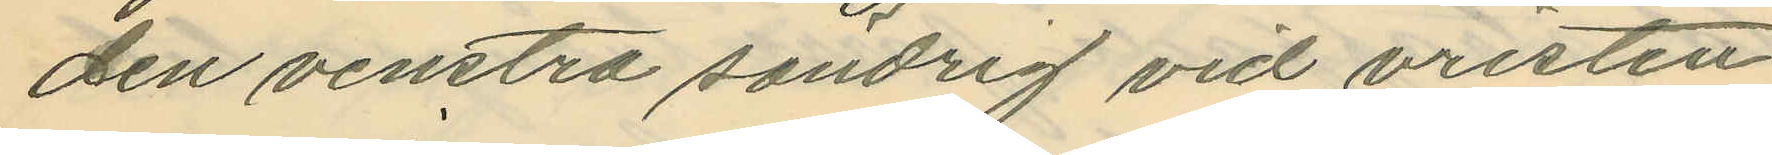den venstra söndrig vid vristen.
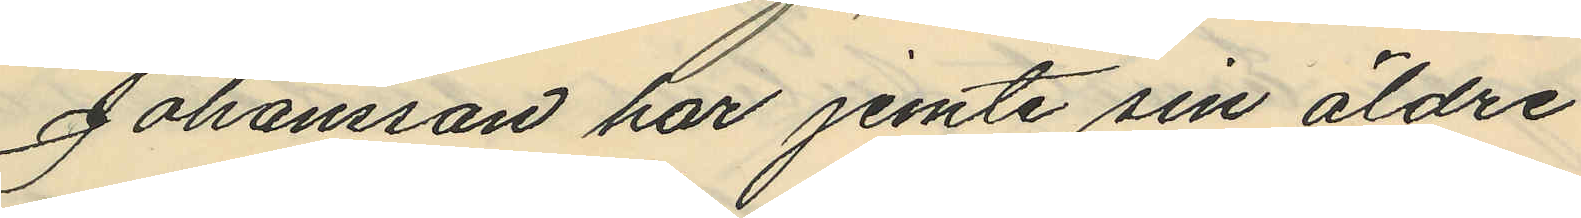Johansson har jemte sin äldre
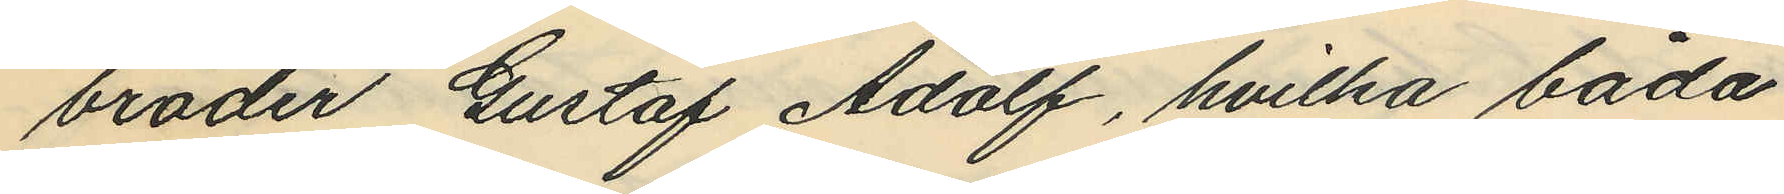broder Gustaf Adolf, hvilka båda
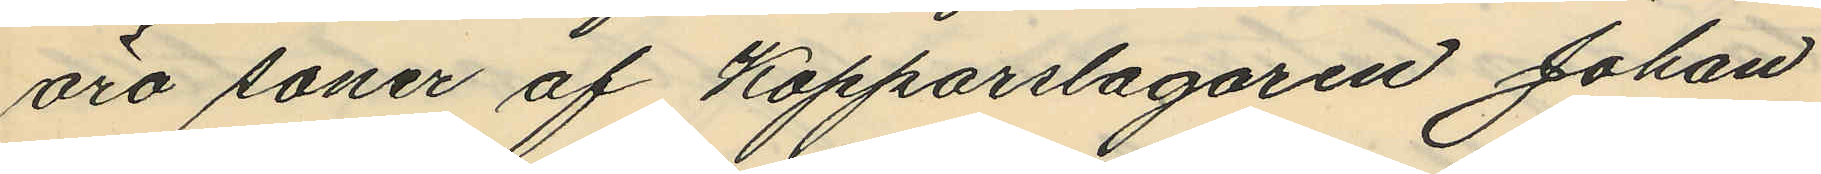äro soner af Kopparslagaren Johan
